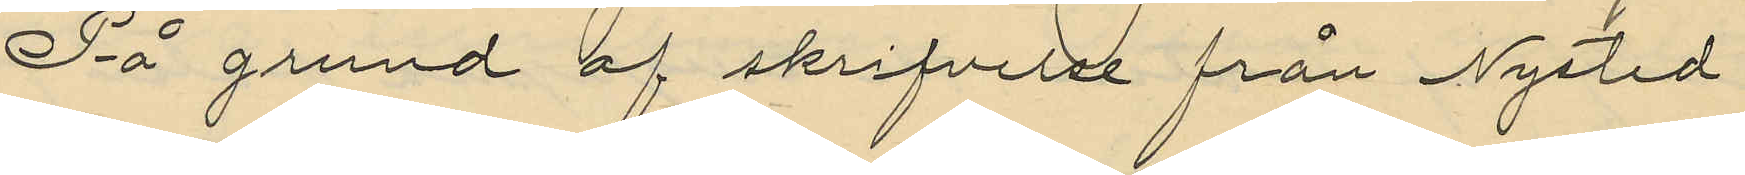På grund af skrifvelse från Nysted
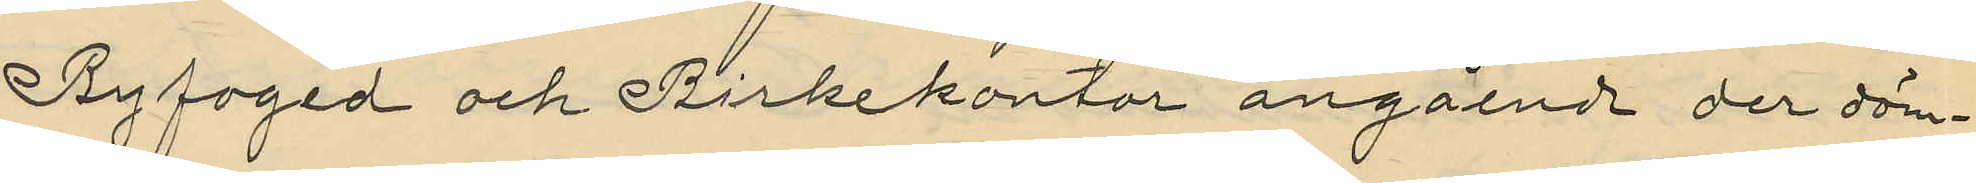Byfoged och Birkekontor angående der döm¬
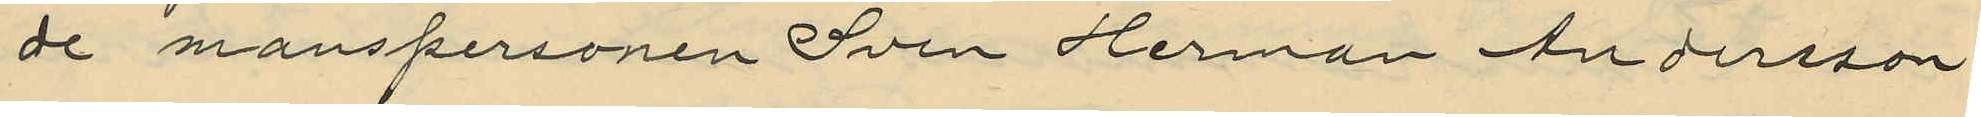de manspersonen Sven Herman Andersson
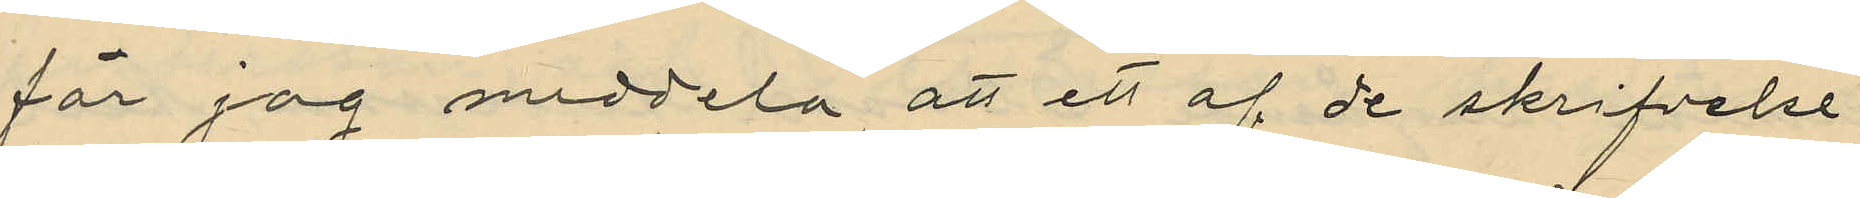får jag meddela att ett af de skrifvelse
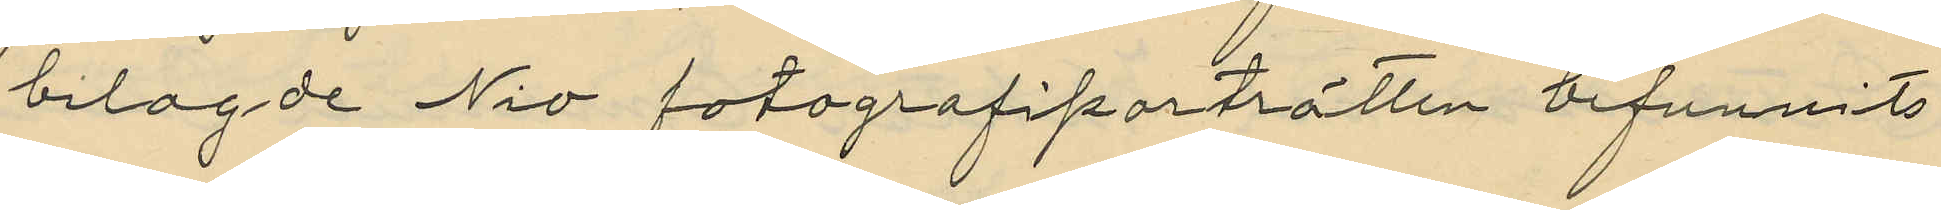bilagde Nio fotografiporträtten befunnits
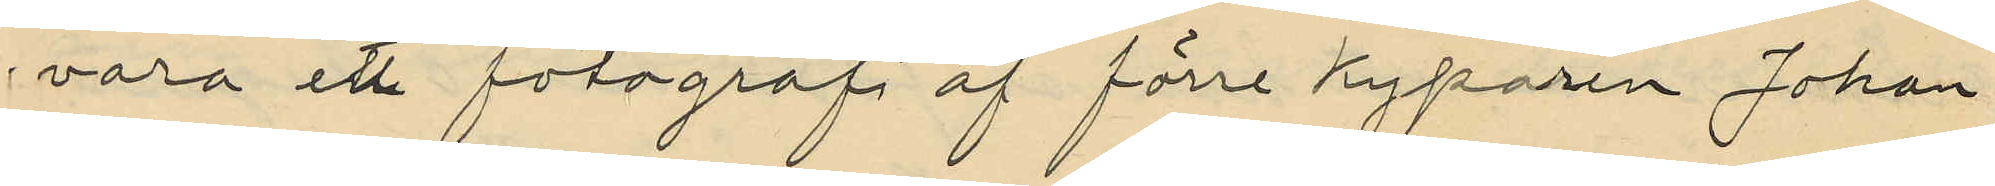vara ett fotografi af förre Kyparen Johan
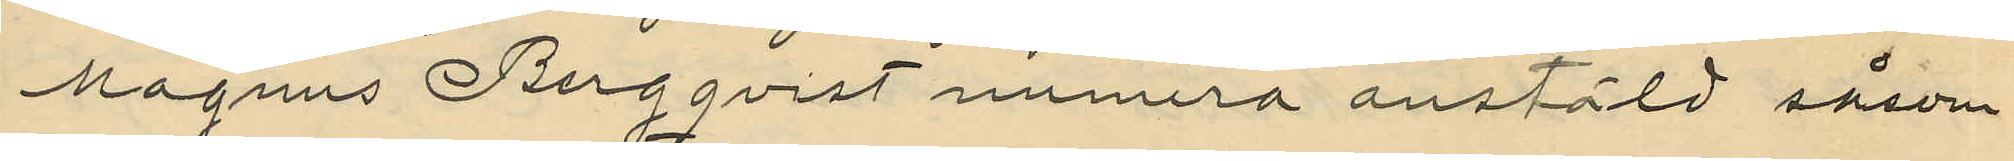Magnus Bergqvist numera anstäld såsom
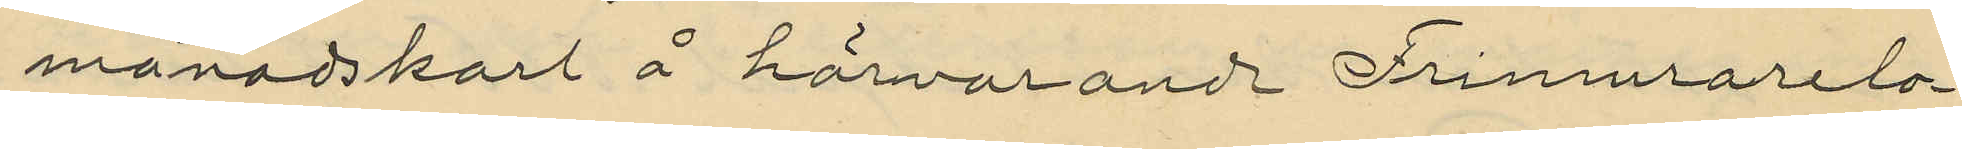månadskarl å härvarande Frimurarelo¬
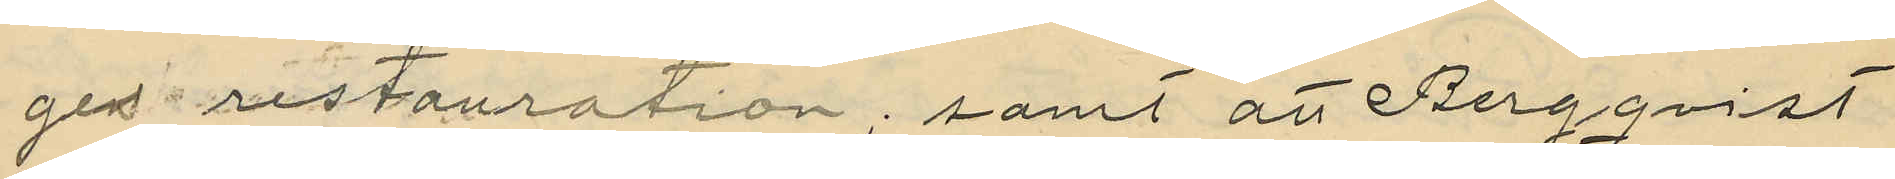gen restauration; samt att Bergqvist
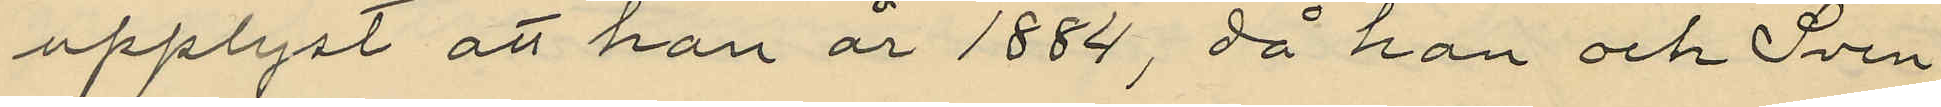upplyst att han år 1884, då han och Sven
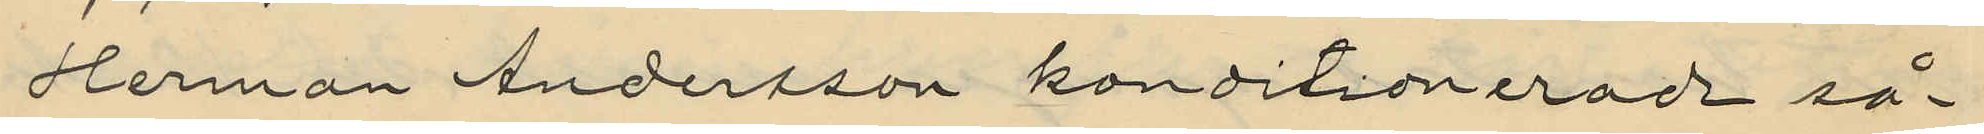Herman Andersson konditionerad så¬
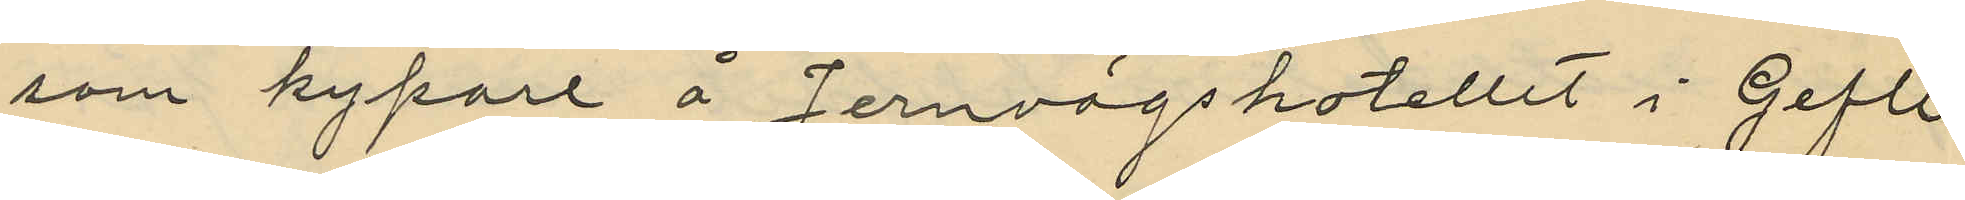som kypare å Jernvägshotellet i Gefle
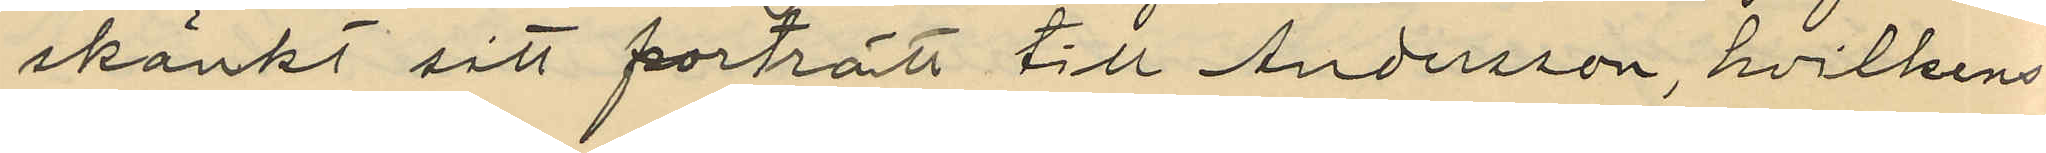skänkt sitt porträtt till Andersson, hvilkens
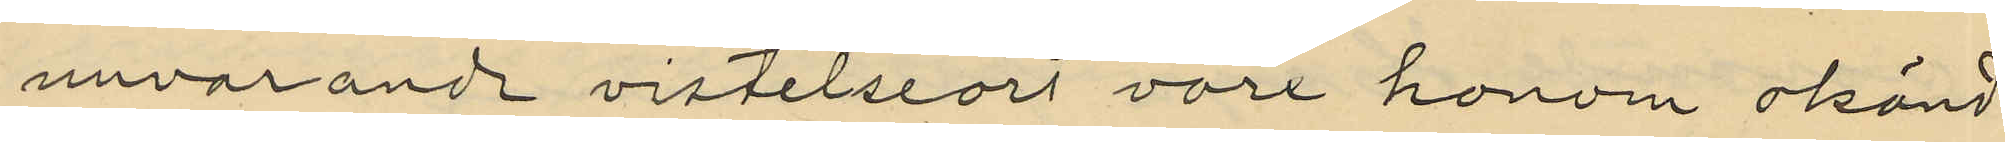nuvarande vistelseort vore honom okänd
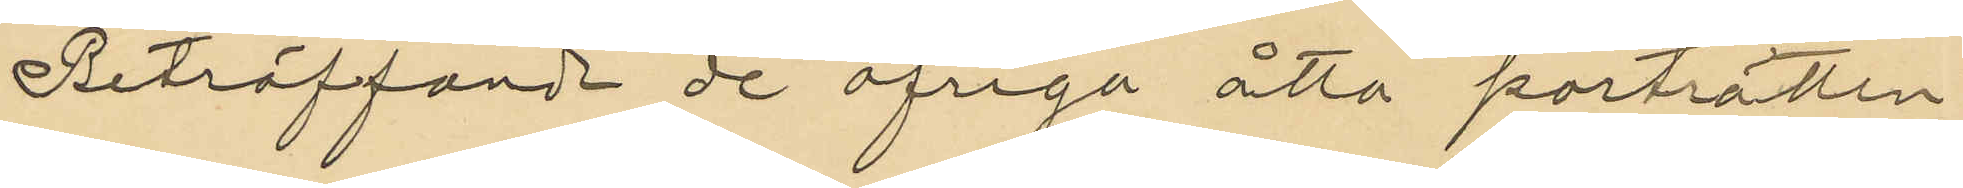Beträffande de öfriga åtta porträtten
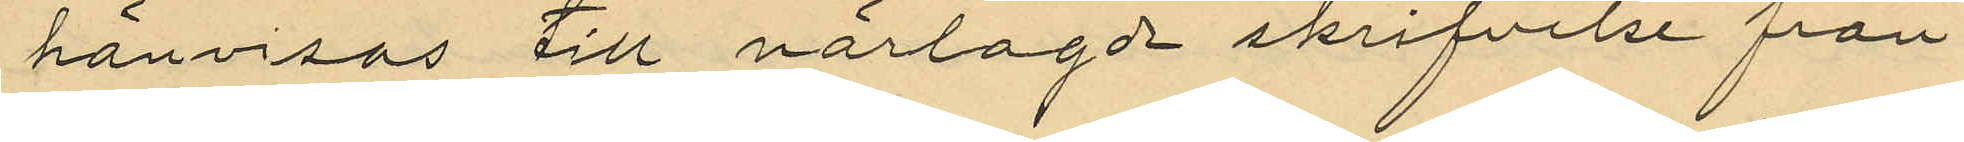hänvisas till närlagde skrifvelse från
